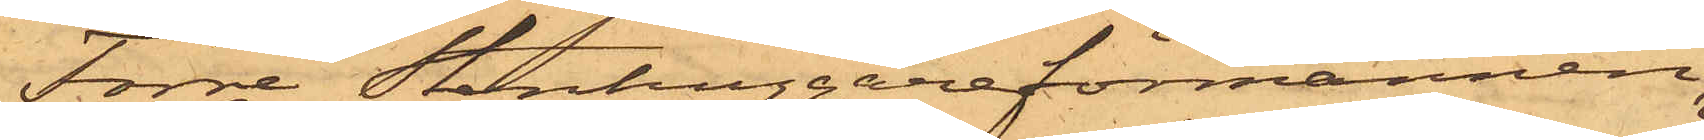Förre Stenhuggareförmannen
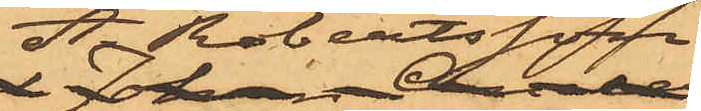A Robertsson
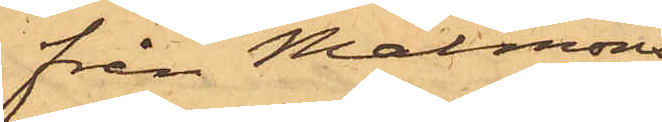från Malmöns
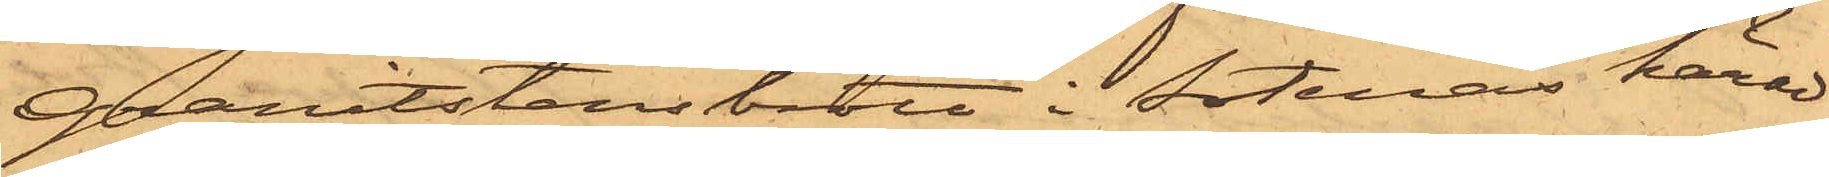granitstensbrott i Sotenäs härad
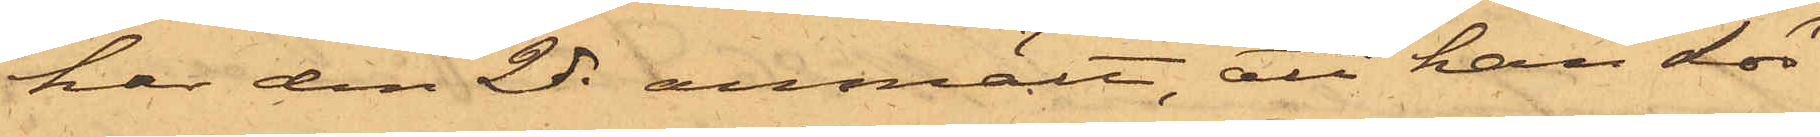har den 2 ds anmält, att han Lör¬
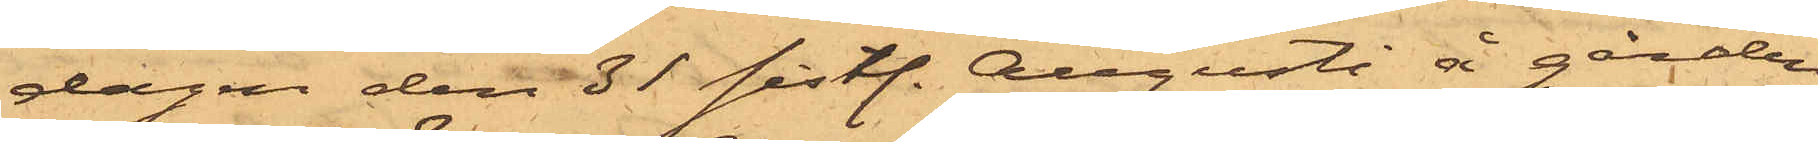dagen den 31 sistl. Augusti å gården
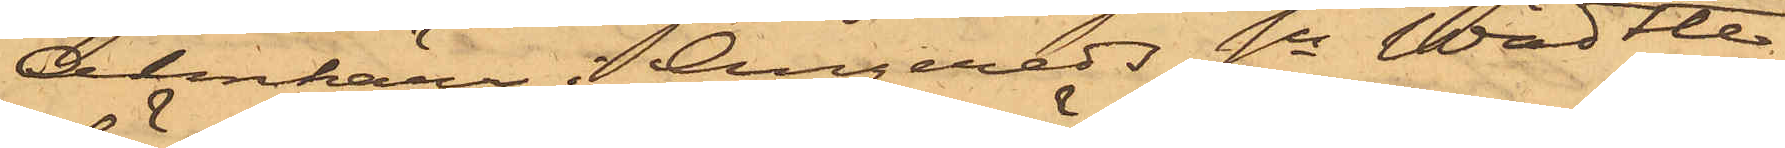Almkärr i Angereds Sn Wädtle
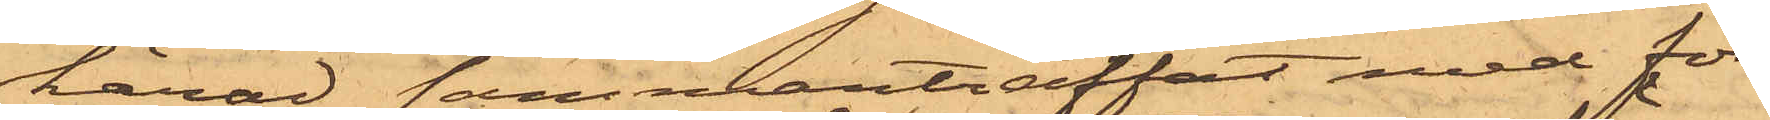härad sammanträffat med för
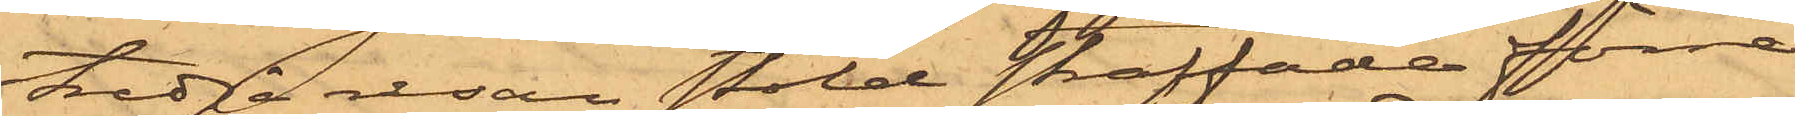tredje resan stöld straffade förre
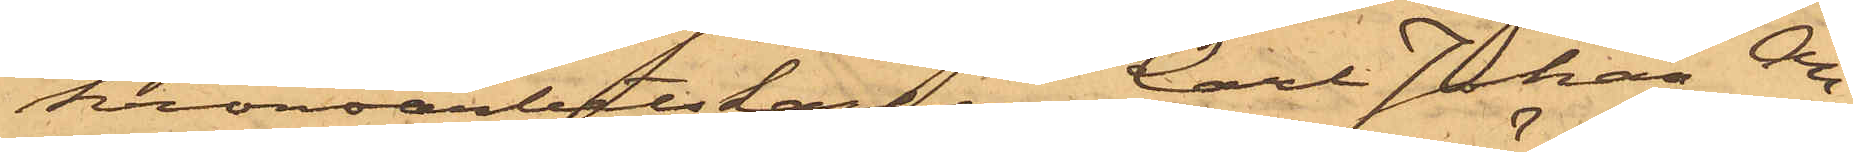kronoarbetskarlen Carl Johan An¬
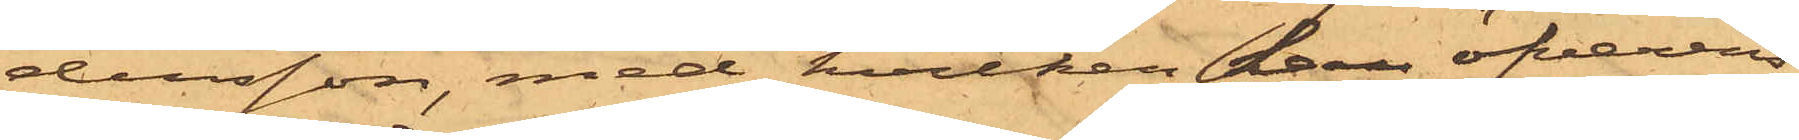dersson, med hvilken han öfverens¬
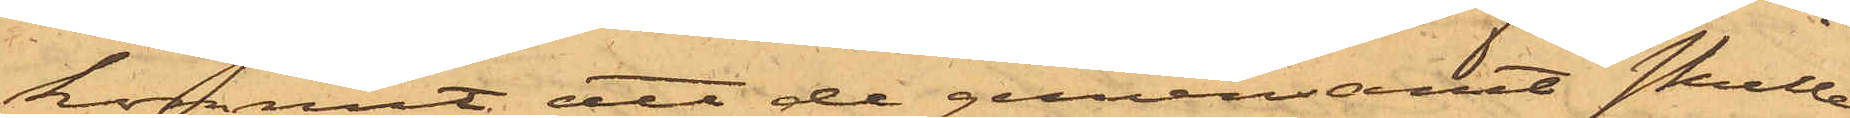kommit, att de gemensamt skulle
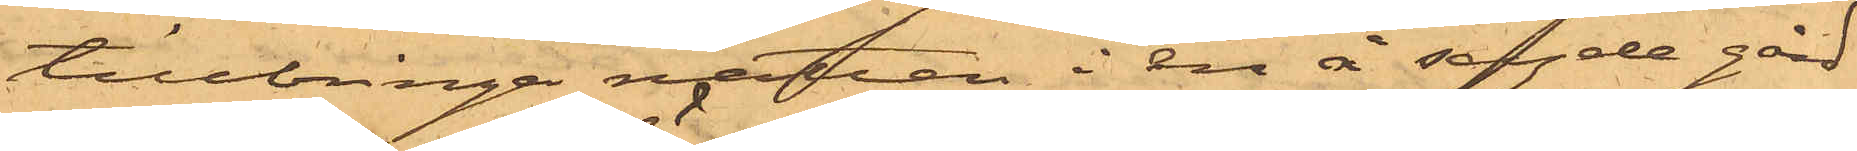tillbringa natten i en å sagde gård
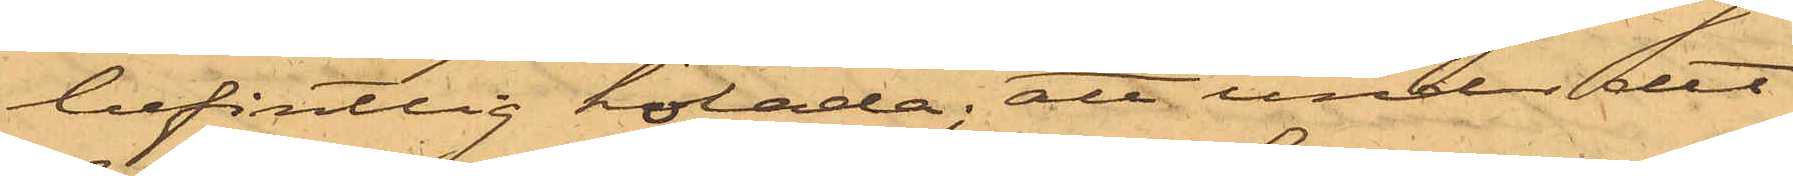befintlig hölada; att under det
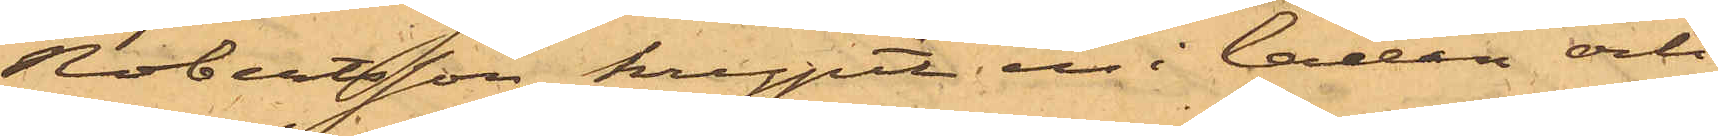Robertsson krypit in i ladan och
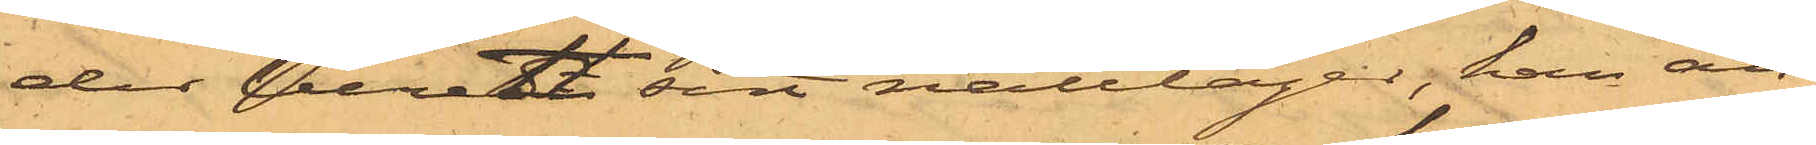der beredt sitt nattläger, han an¬
